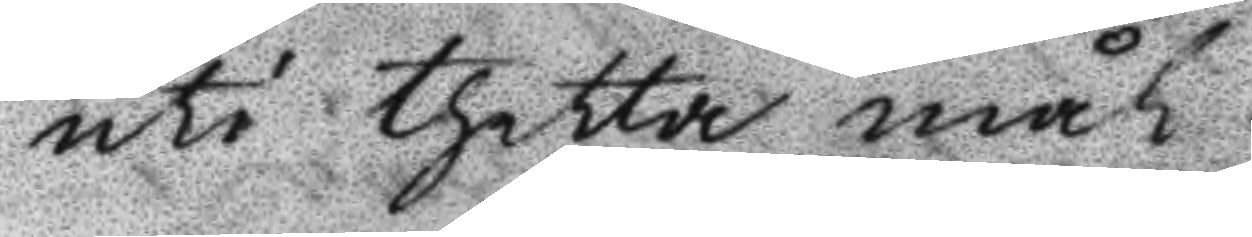uti thetta mål.
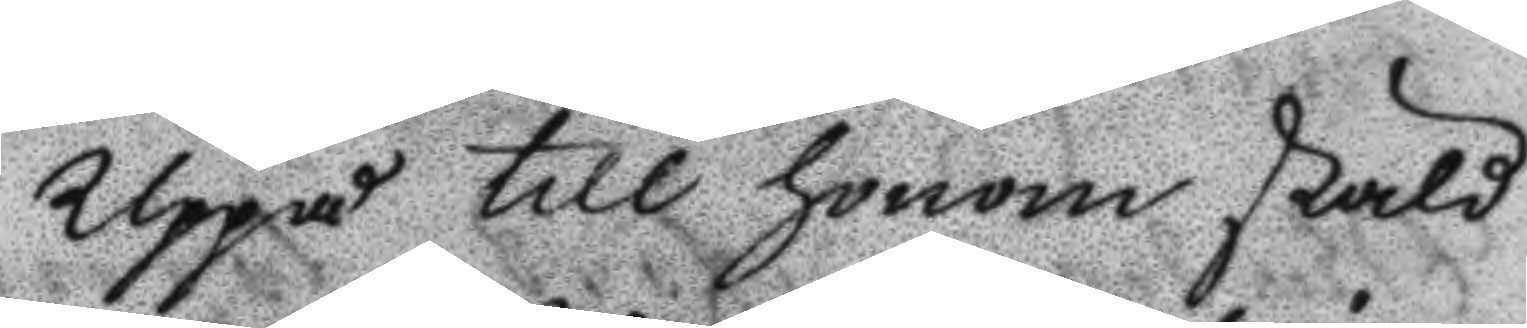Uppå till honom skald
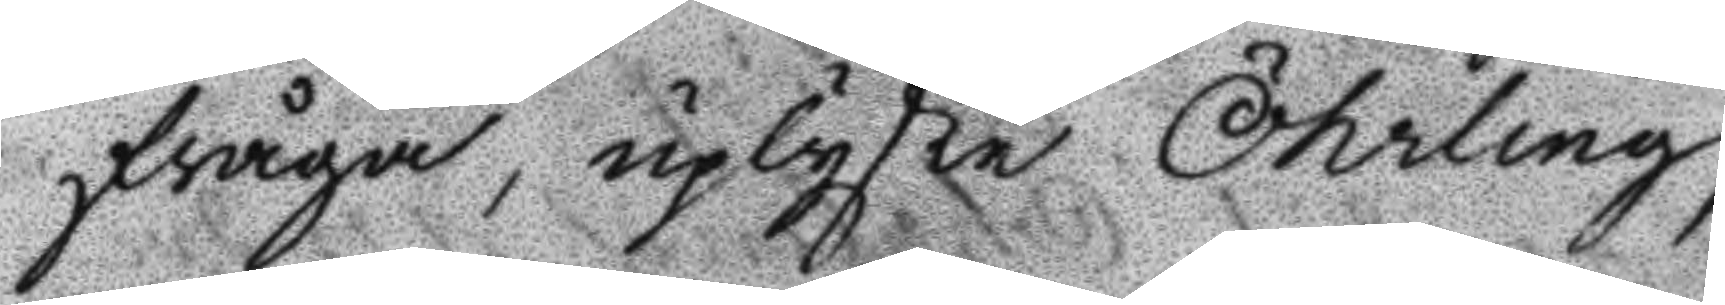frågan, uplyste Öhrling,
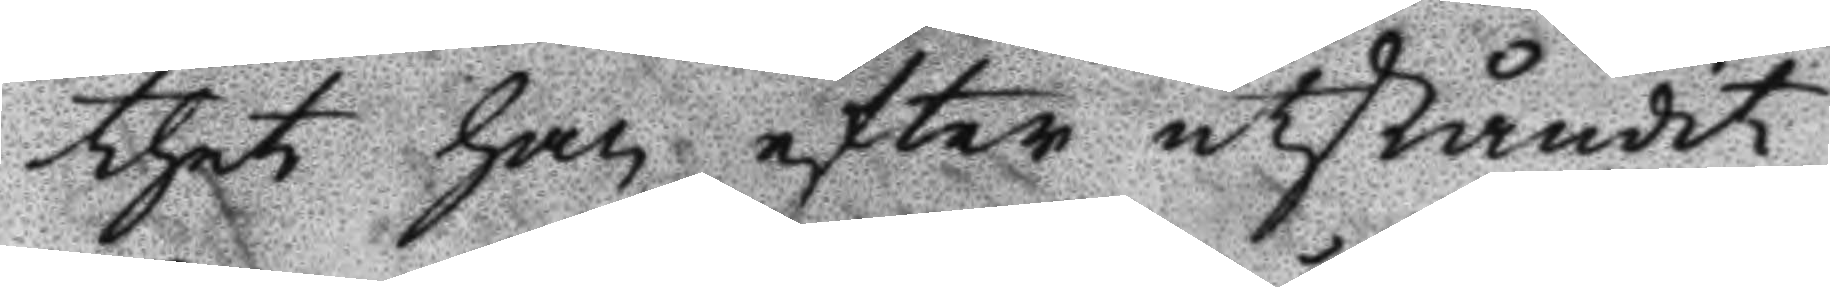thet han efter utståndit
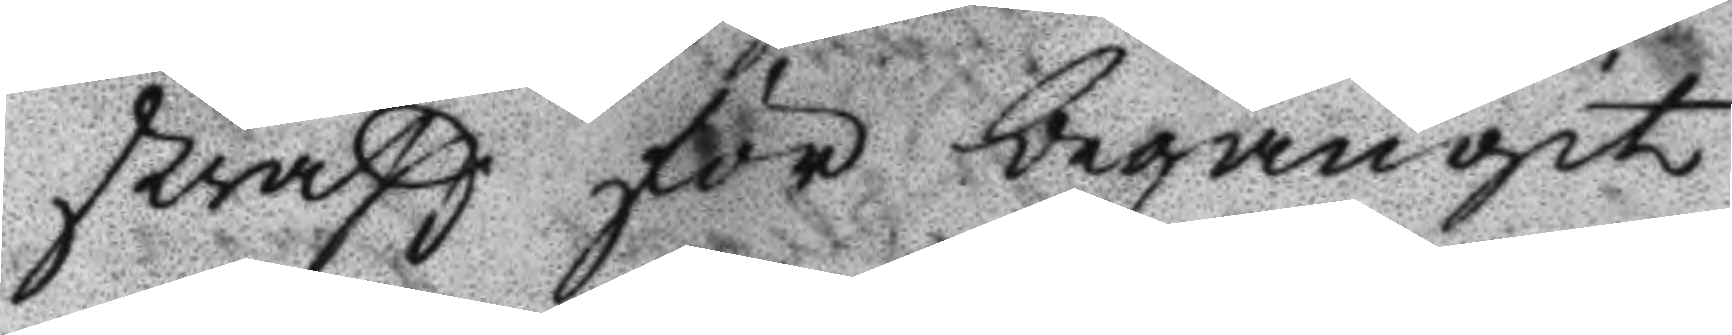straff för begångit
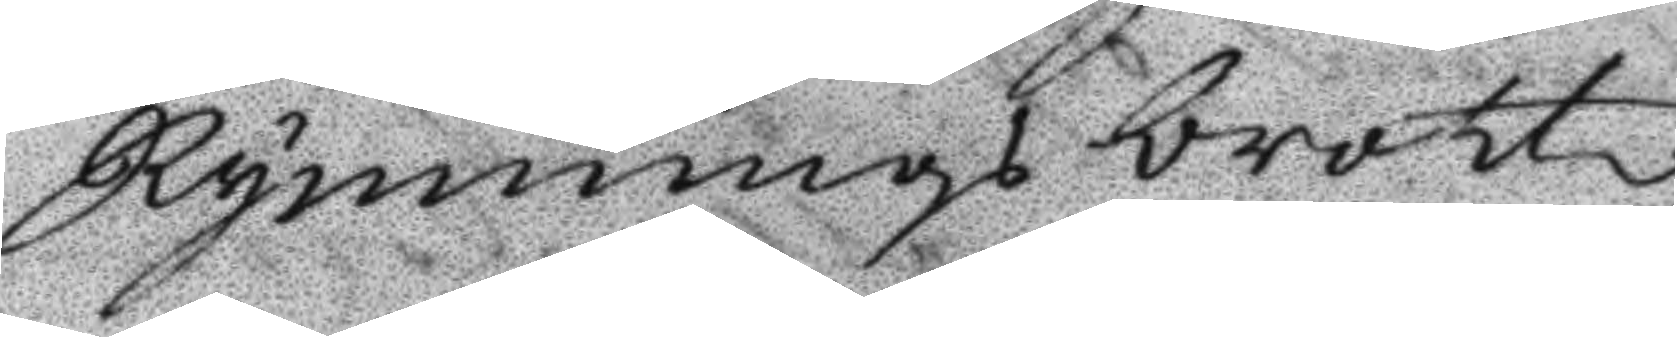Rymnings brott,
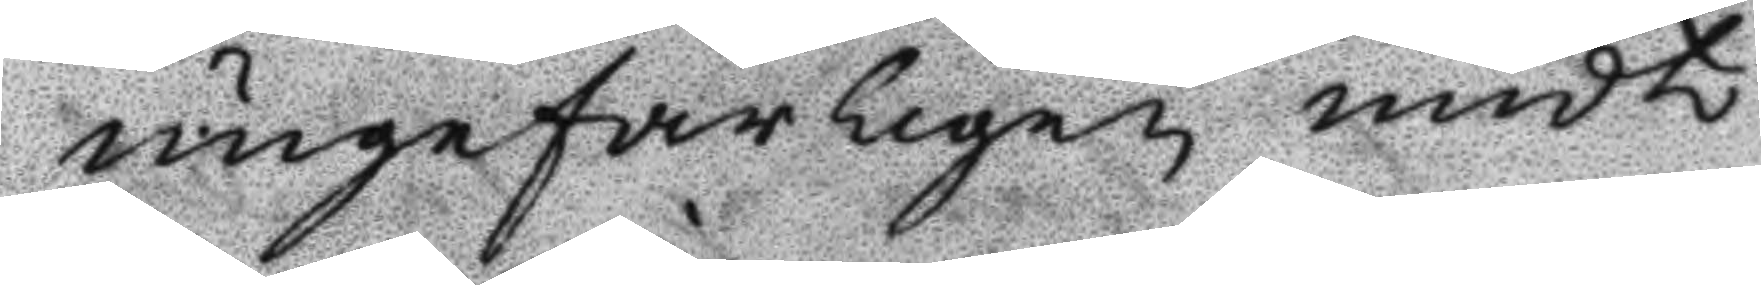ungefärligen midt
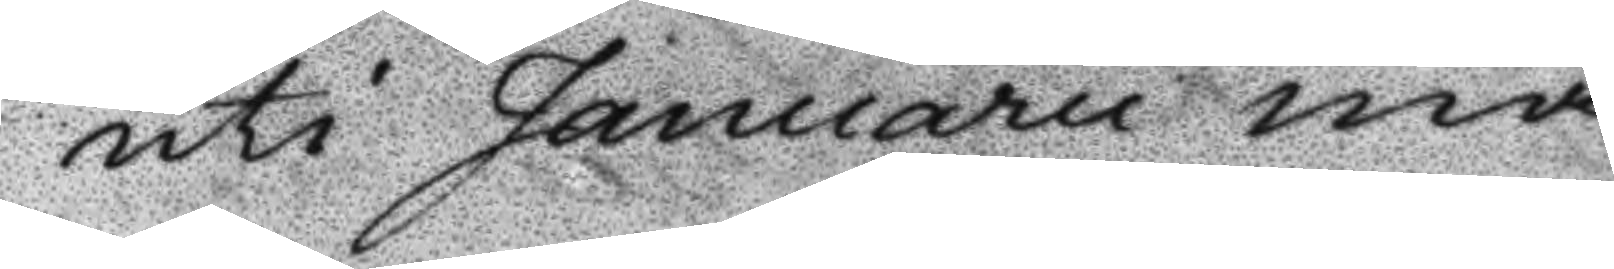uti Januarii må¬
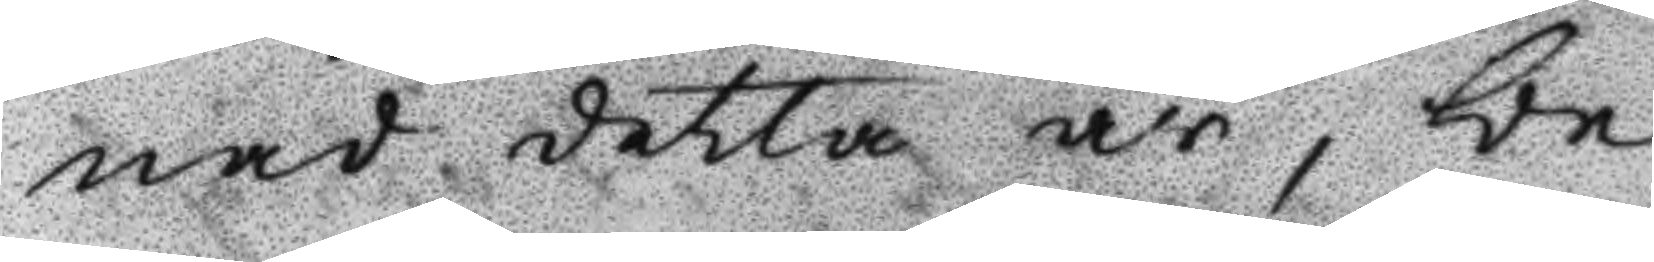nad detta år, be¬
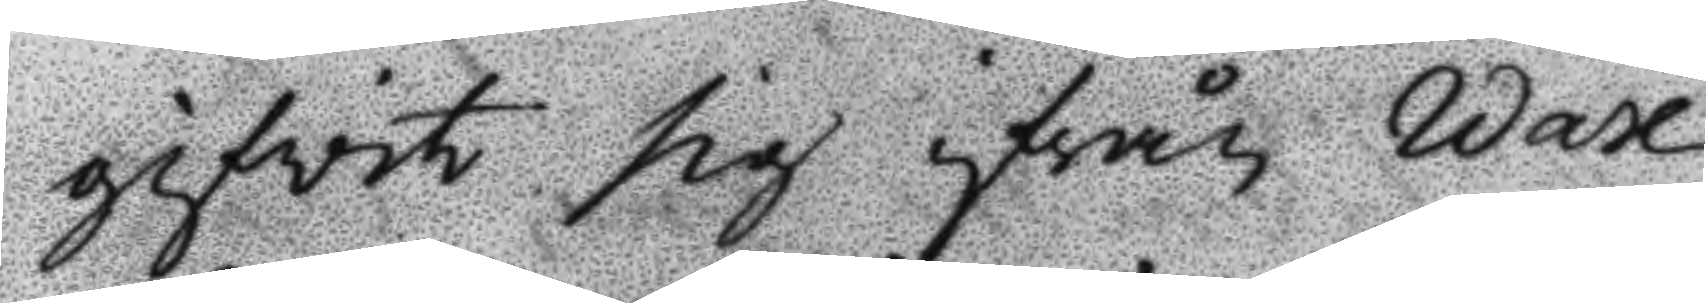gifvit sig ifrån Wax¬
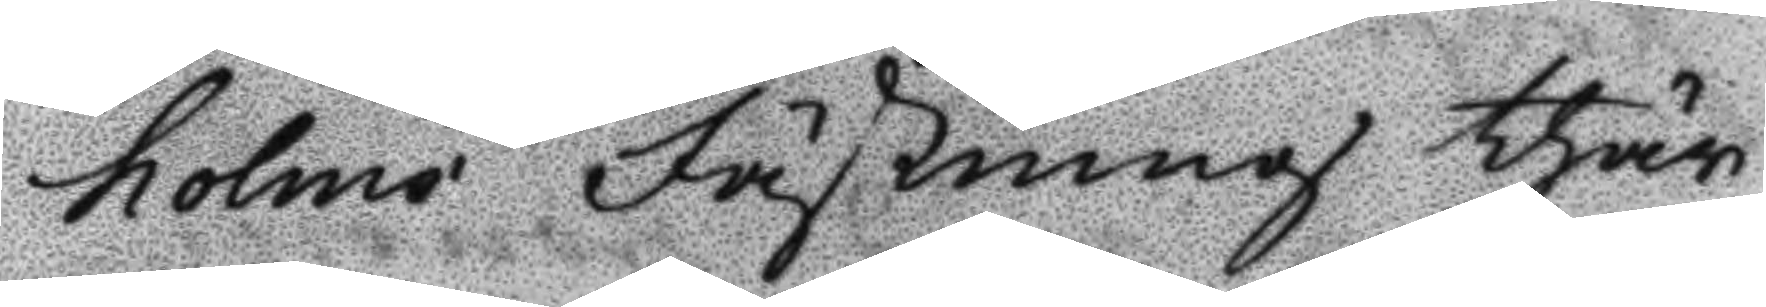holms Fästning thär
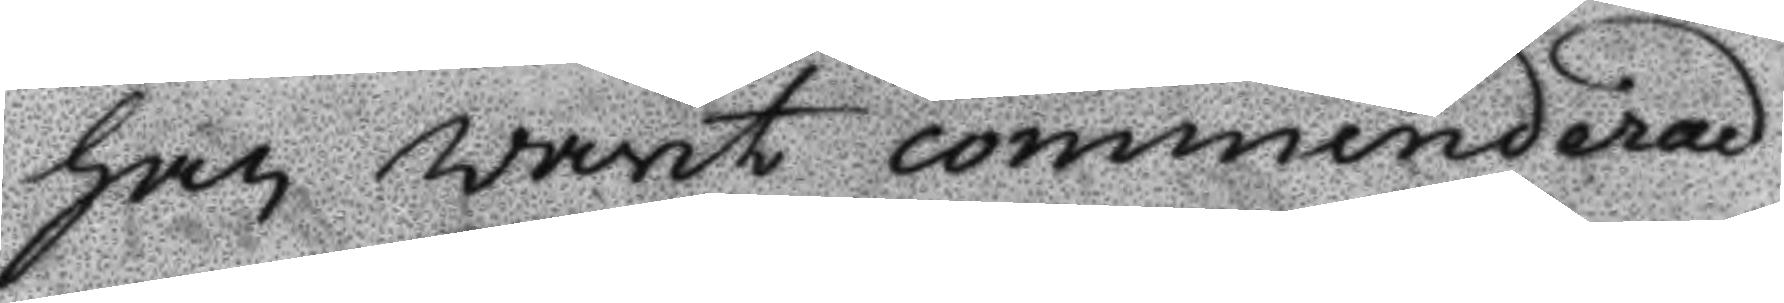han warit commenderad
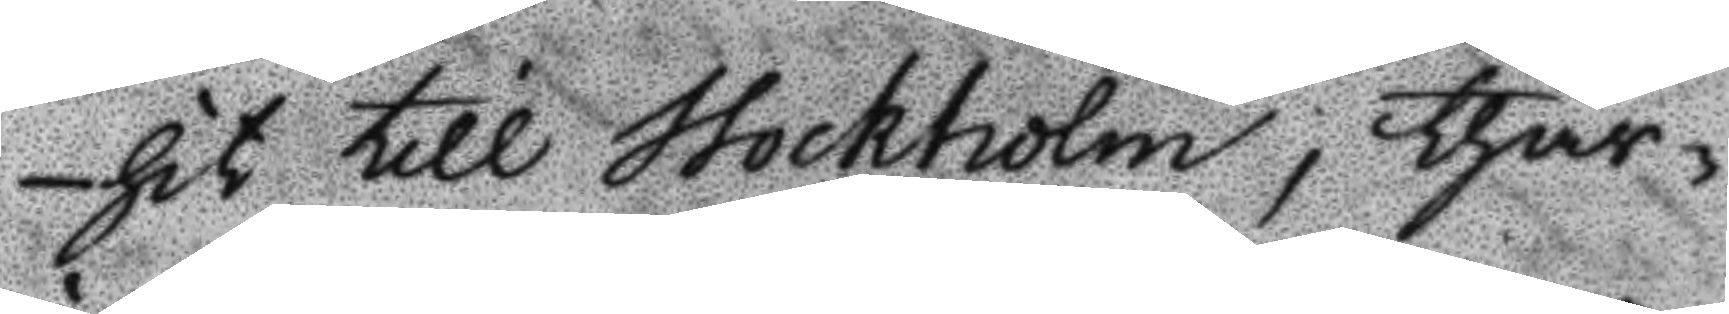hit till Stockholm, thär¬
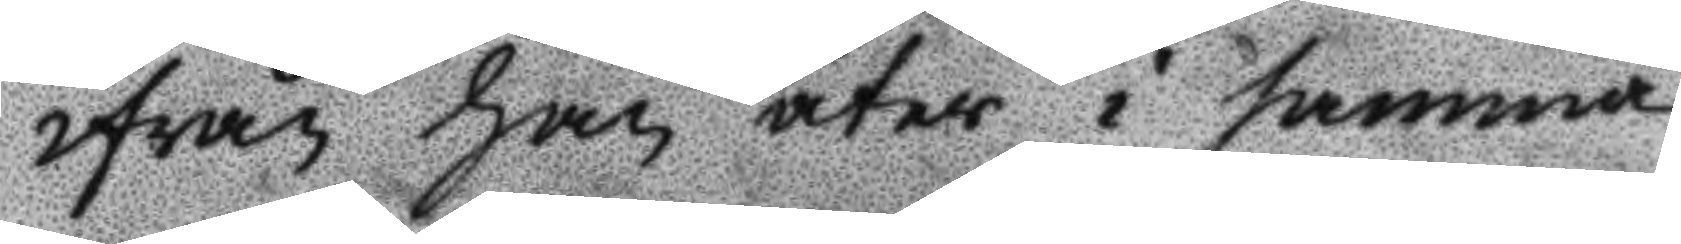ifrån han åter i samma
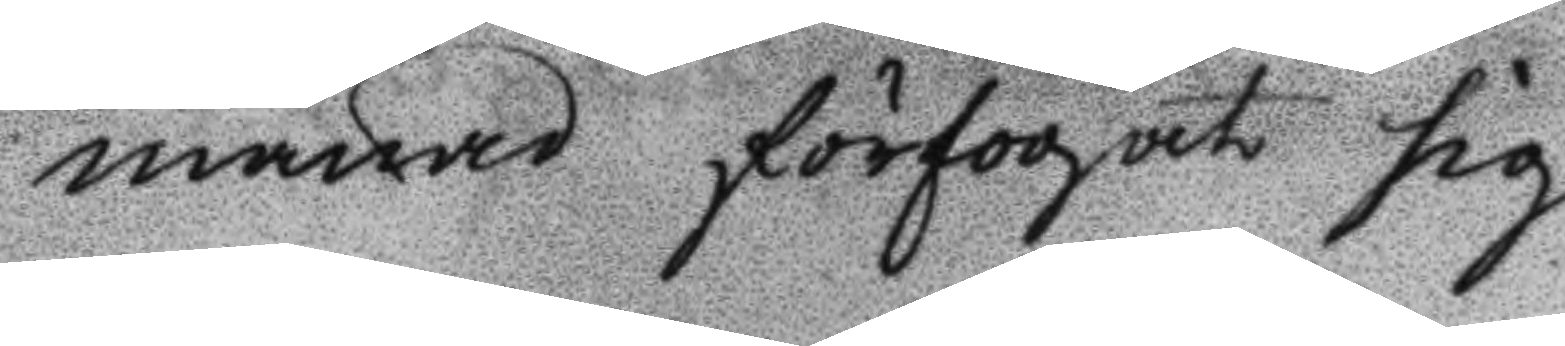månad förfogat sig
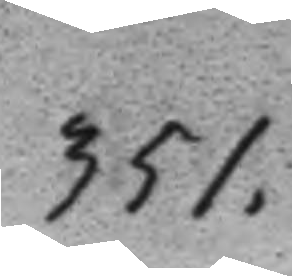351.
